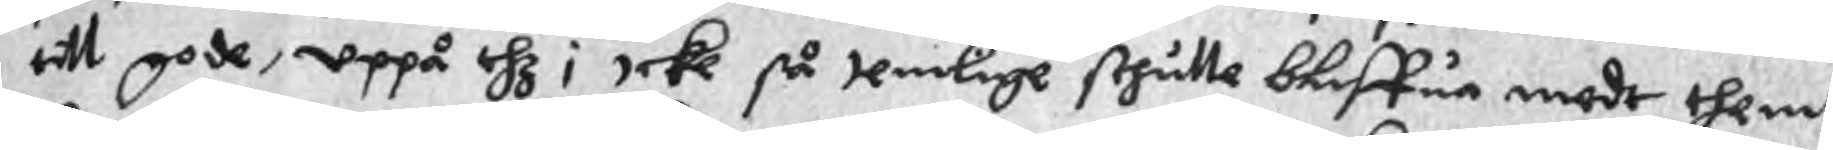tullt gode, uppå thz i icke så temlige skhulle bliffua mede them
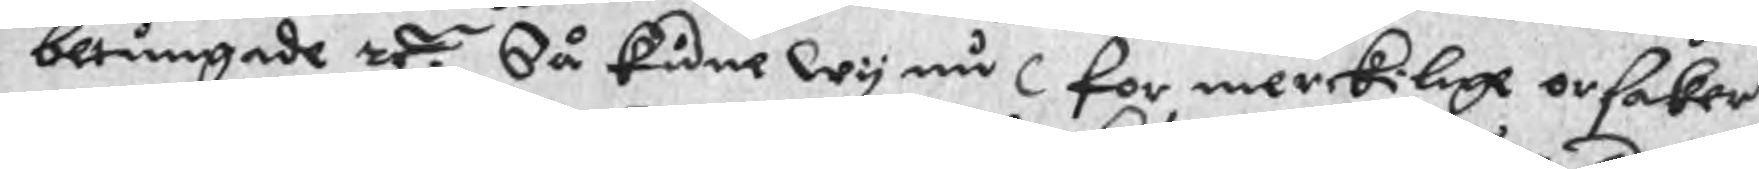betungade zr. Så kune wy nu for merckilige orsaker
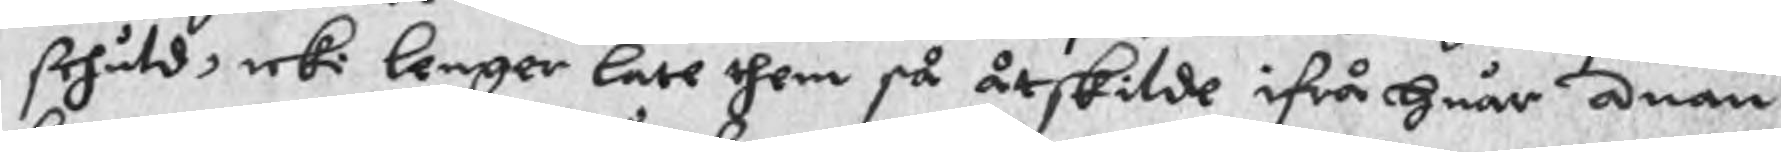skhuld, icke lenger late them så åtskilde ifrå Huar anan
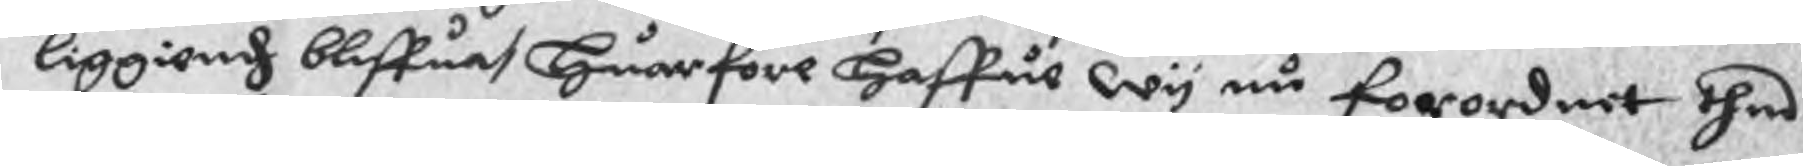liggiendh bliffuat Huarfore Haffue wy nu forordnet thes
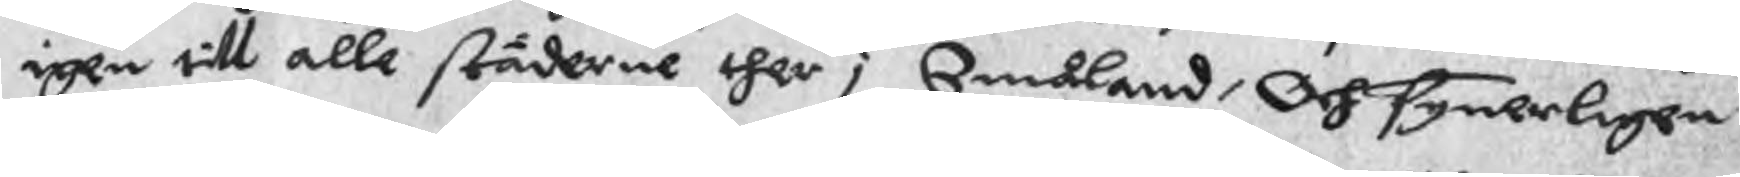igen till alle städerne ther i Småland, Och synerligen
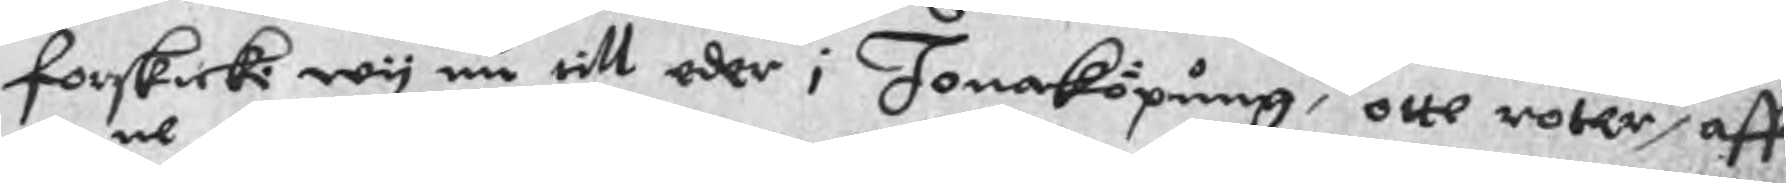forskicki wy nu till eder i Jonaköpung, otte rotar, aff
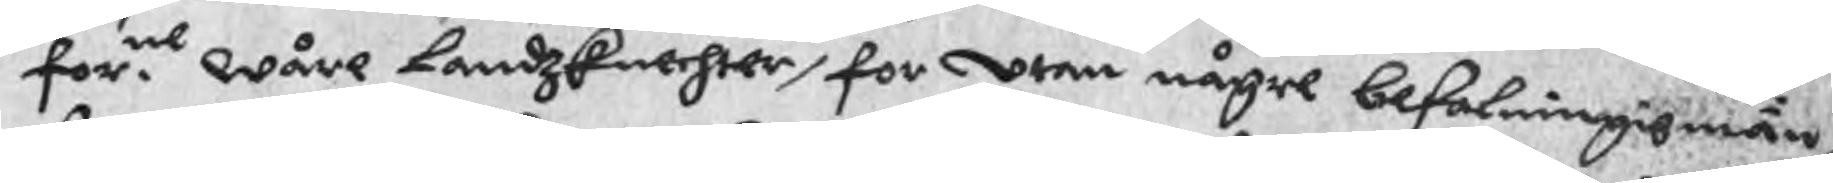for.ne wåre Landzknechter, för utan någre befalningismän,
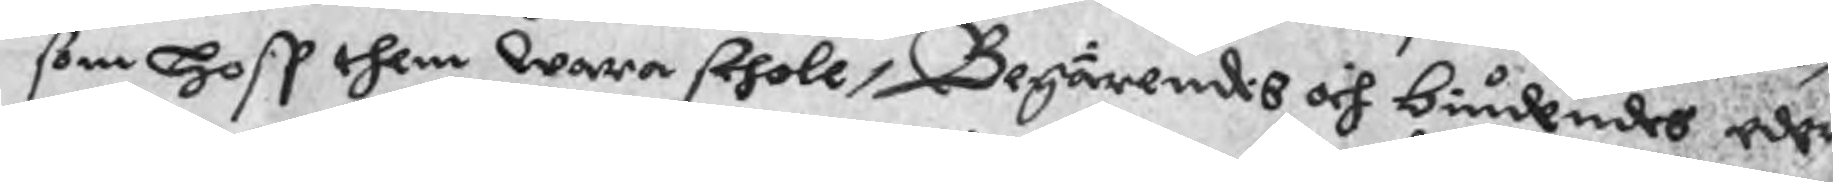som hoss them wara skholl, Begärendes och biudendes eder
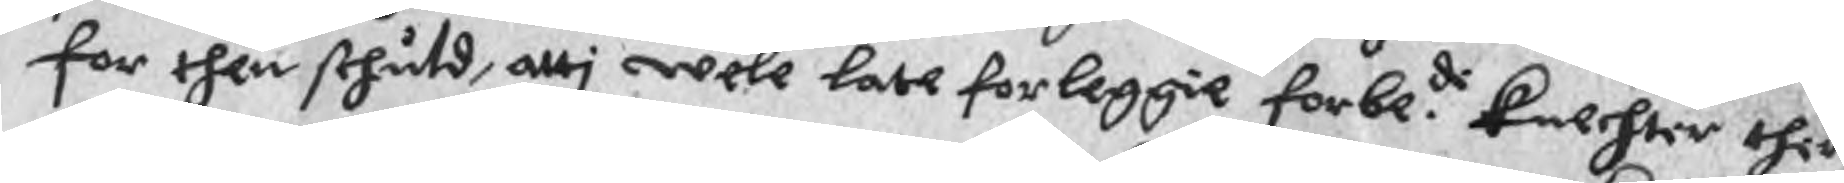for then skhuld, atti wele late forleggie forbe.d knechter ther
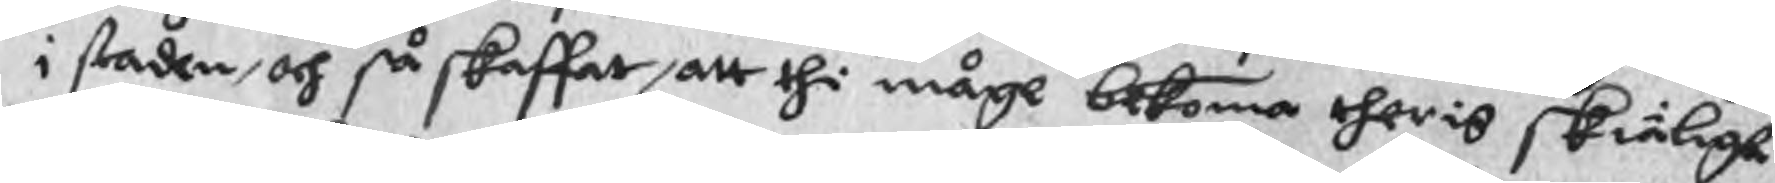i staden, och så skaffat, att thi måge bekoma theris skiäligh
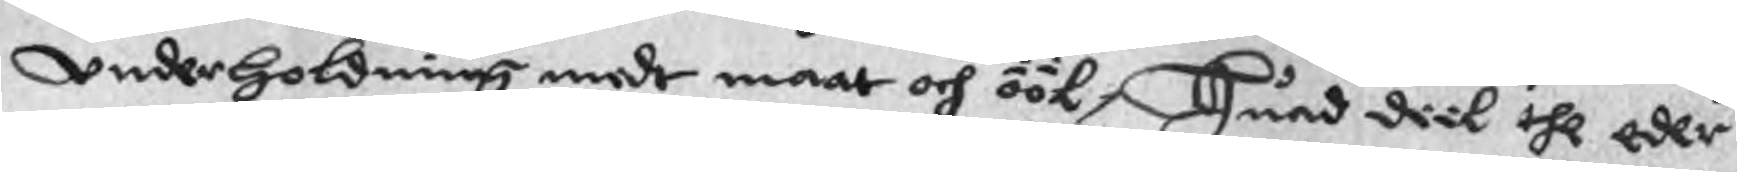underholdning medt maat och ööl, Huad diik the eder
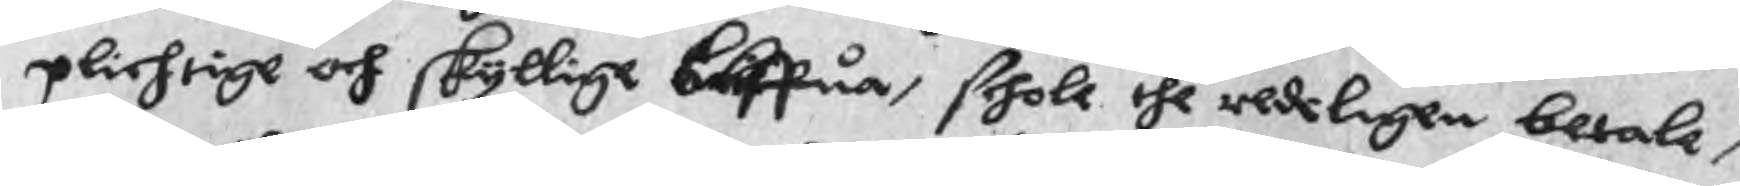plichtige och skyllige bliffua, schole the redeligen betale,
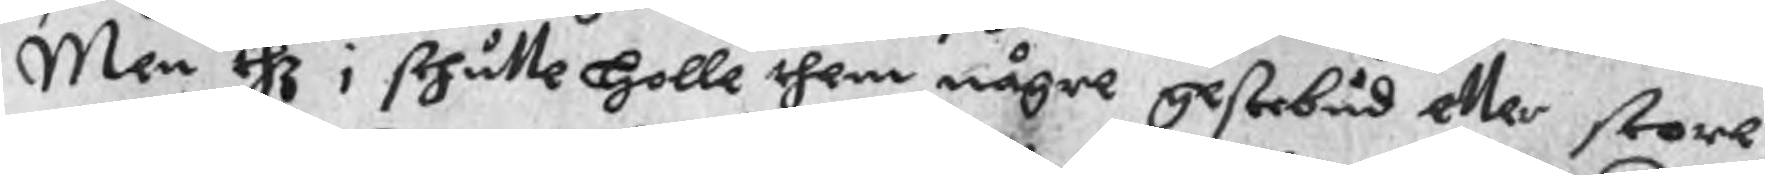Men thz i skhulle Holle them någre gestebud eller store
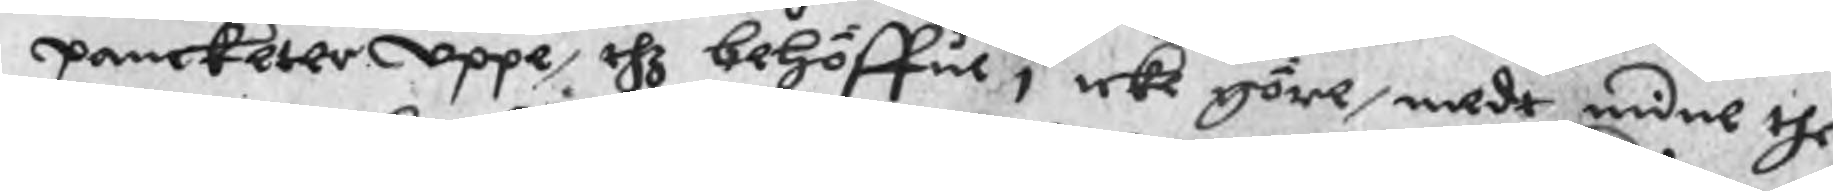pancketer uppe, thz behöffue i icke göre, medt mine the
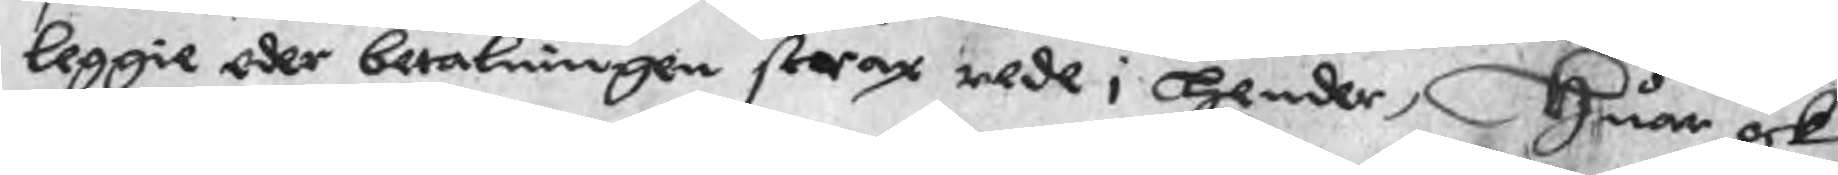leggie eder betalningen strax rede i Hender, Huar och
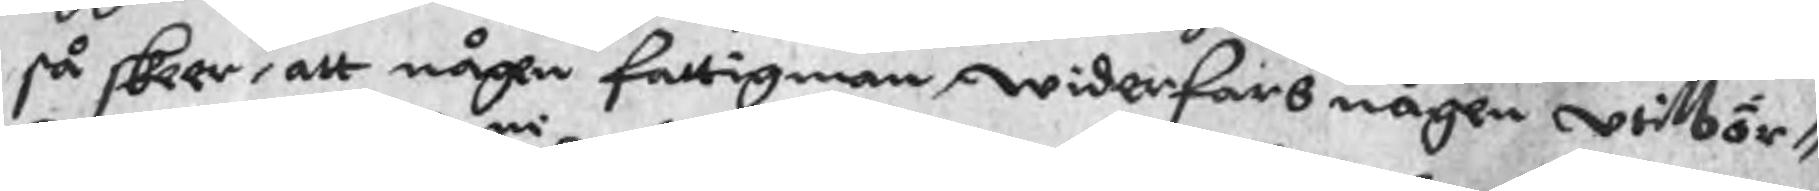så skeer, att någen fattigman widerfars någen witbör¬
